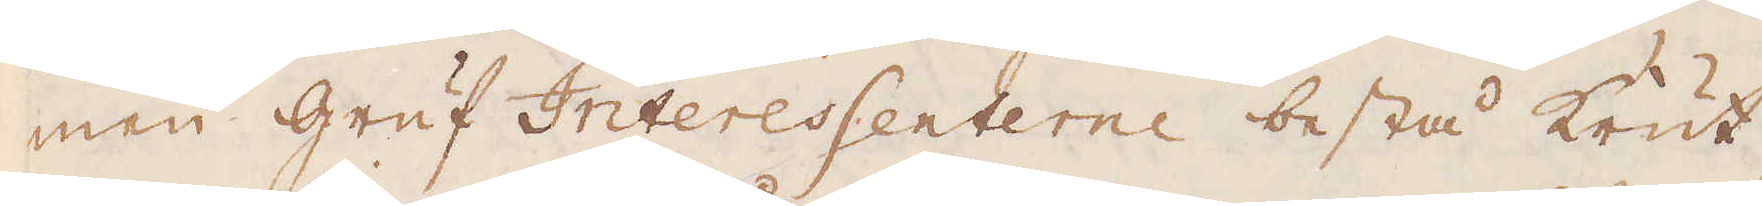men gruf Interessenterne bestå Krut,
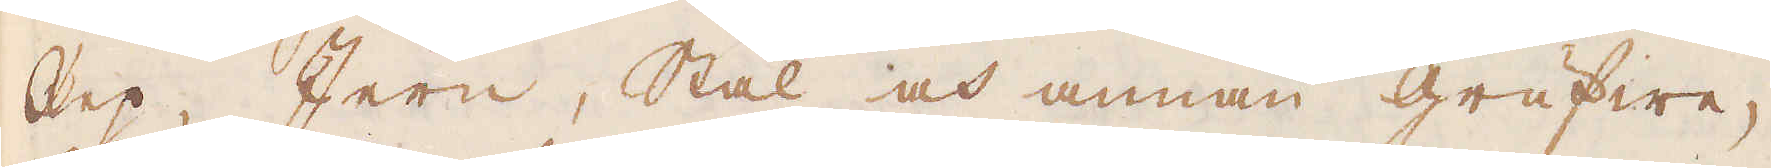Rep, Jern, Stål och annan Grufwe-
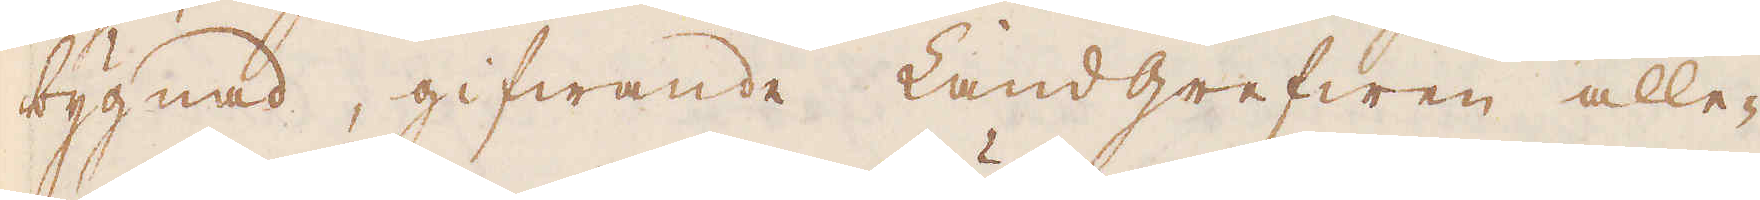bygnad, gifwande Landgrefwen alle-
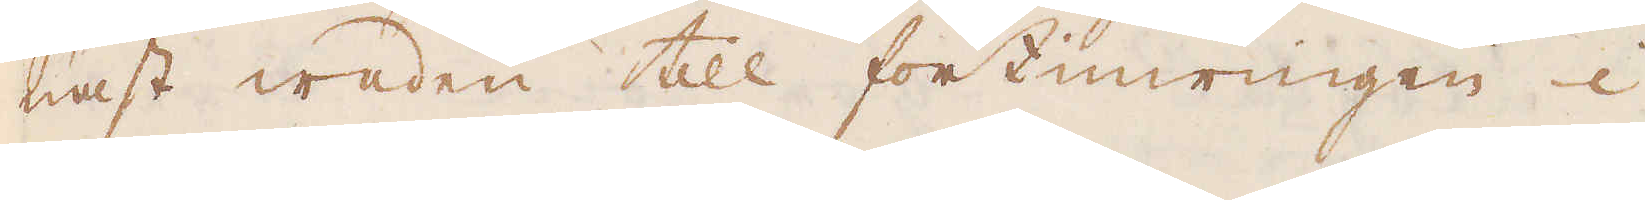nast waden till förtimringen i
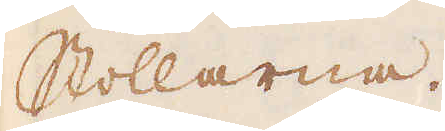Stollarna.
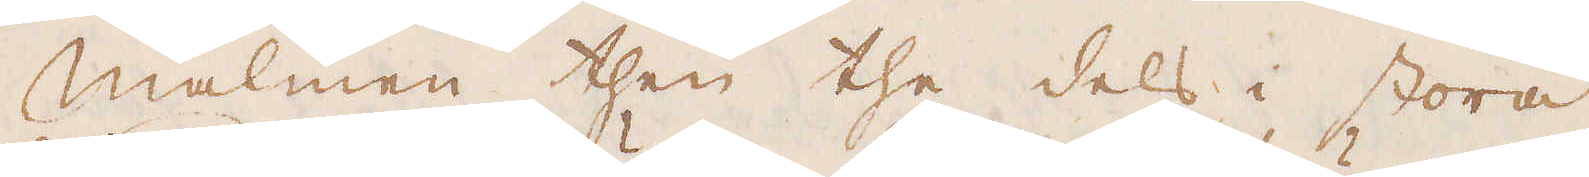Malmen, then the dels i stora
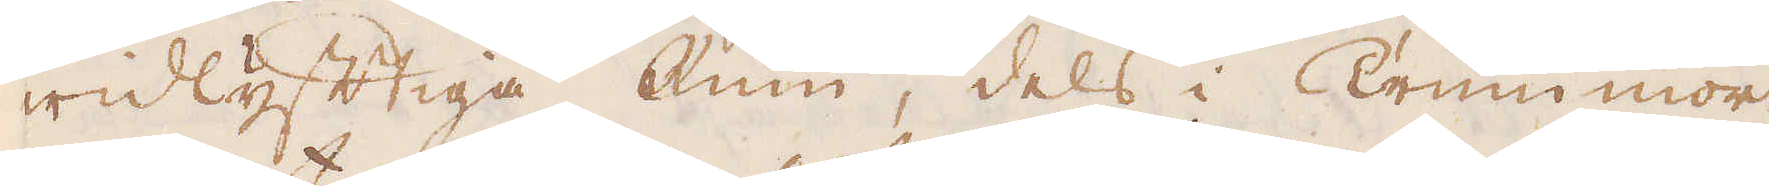widlyftiga Rum, dels i Trummor
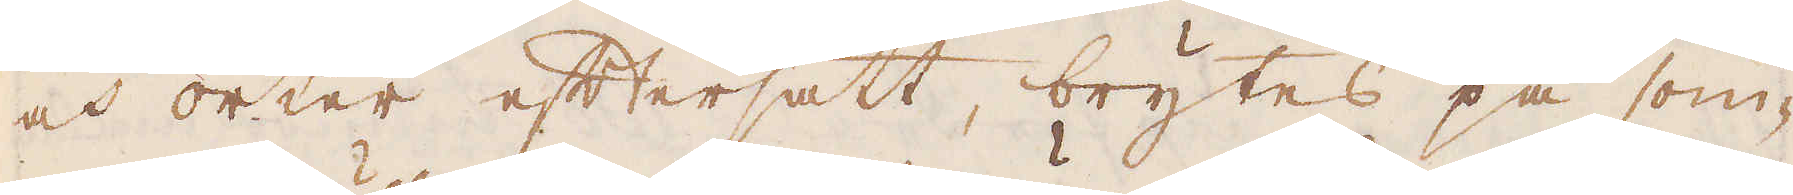och orter eftersatt, brytes på som-
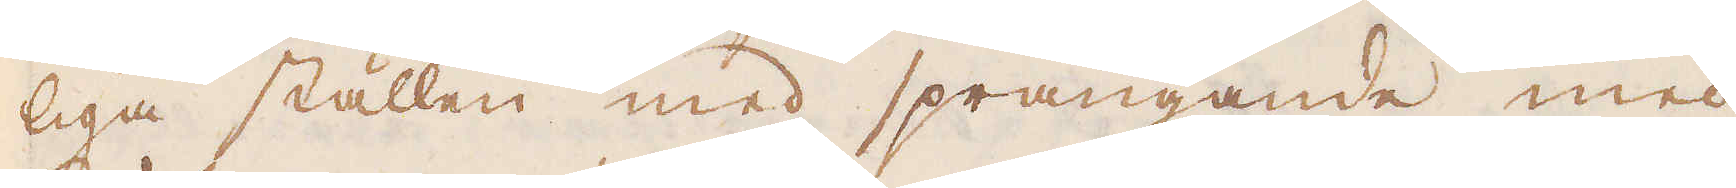liga ställen med sprängande med
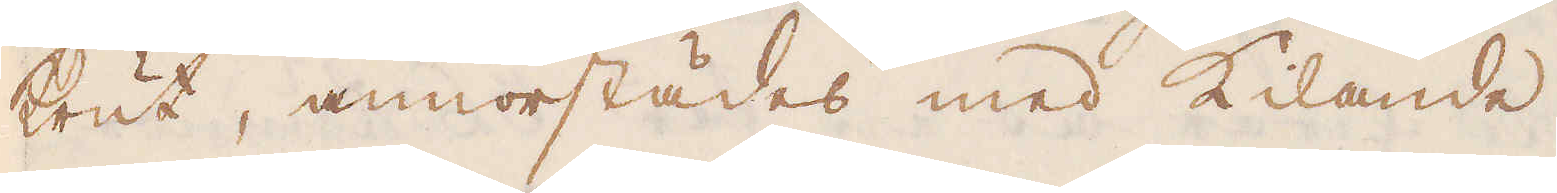Krut, annorstädes med Kilande.
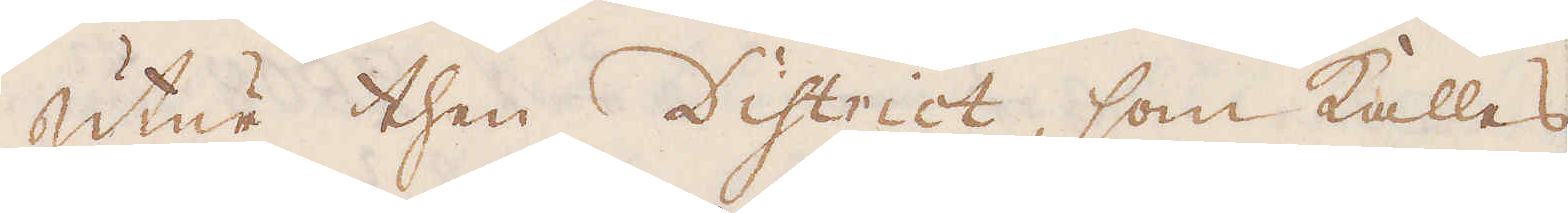Utur then District, som kalles
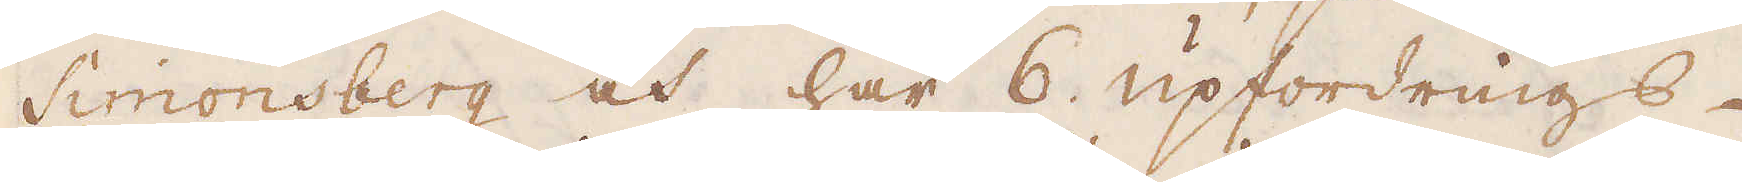Simonsberg och har 6 upfordrings-
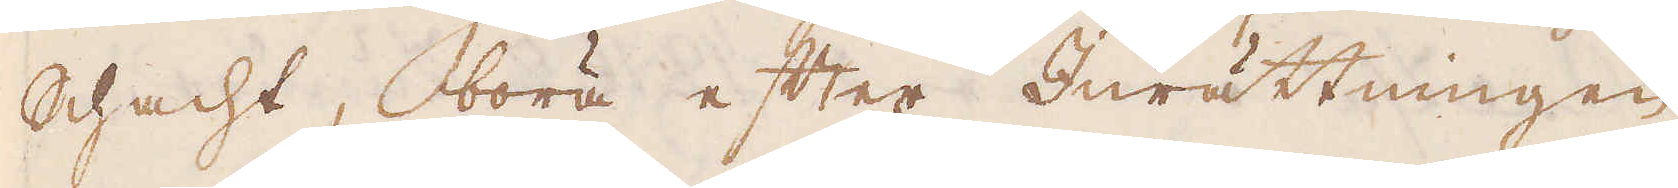Schacht, böra efter Inrättningen
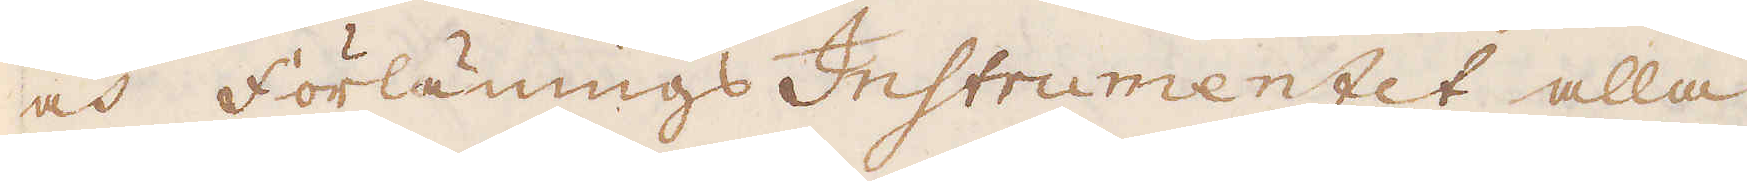och Förlänings Instrumentet alla
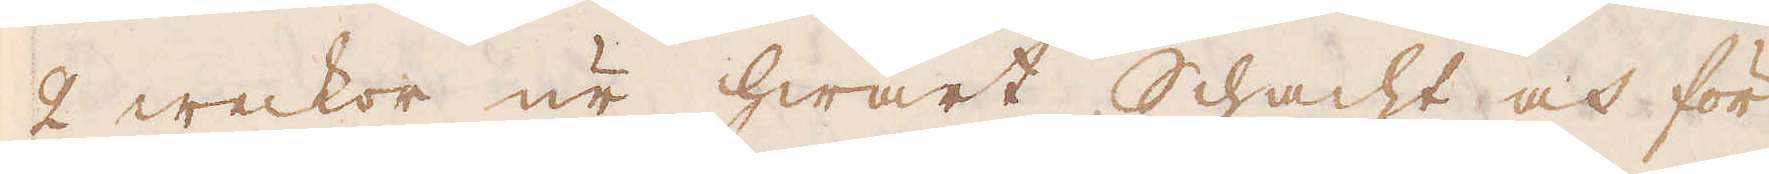2 weckor ur hwart Schacht och för
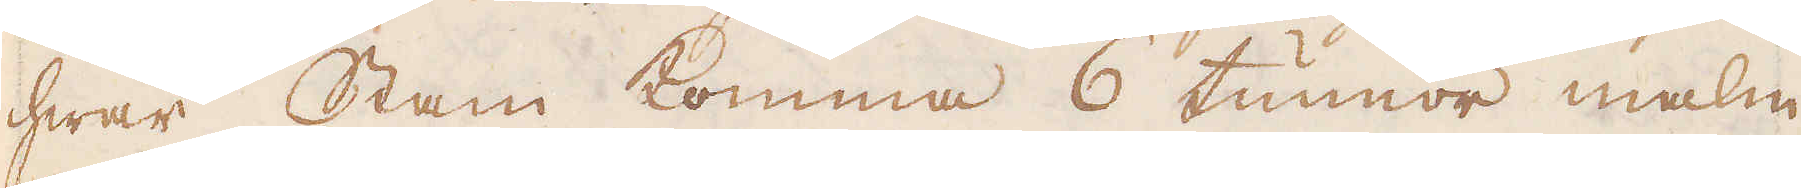hwar Stam komma 6 tunnor malm,
